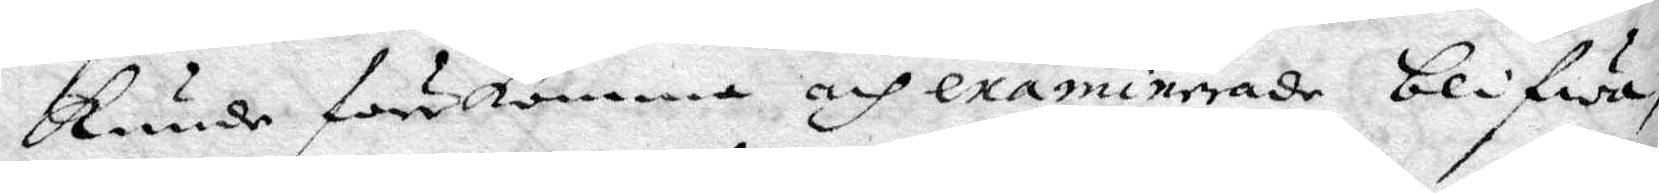Kunde förekomma och examinerade blifwa
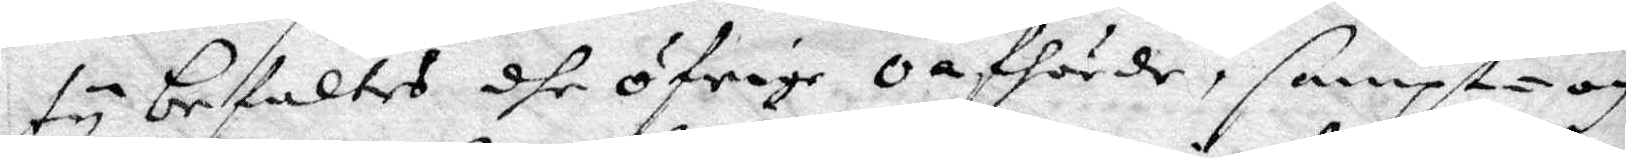ty befaltes dhe öfrige Oafhörde, sampt¬och
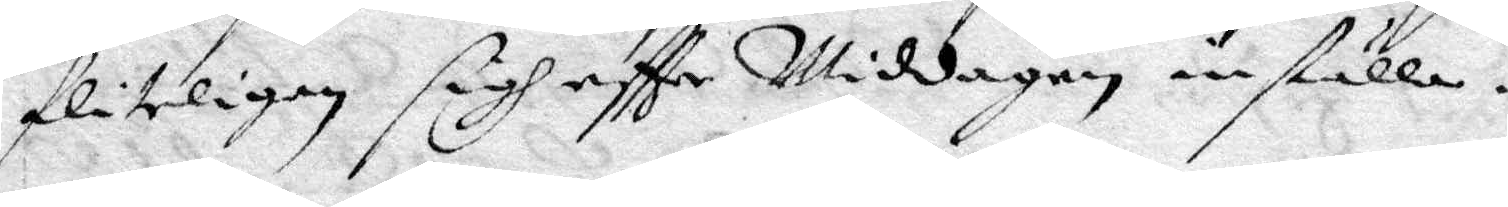fliteligen sigh eftter Middagen inställa.
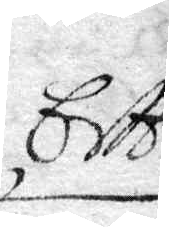Eftter
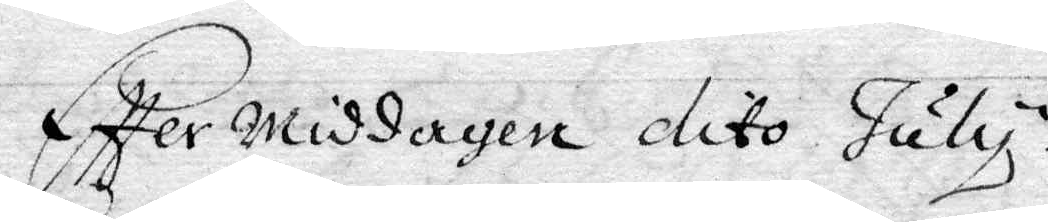Eftter Middagen dito July.
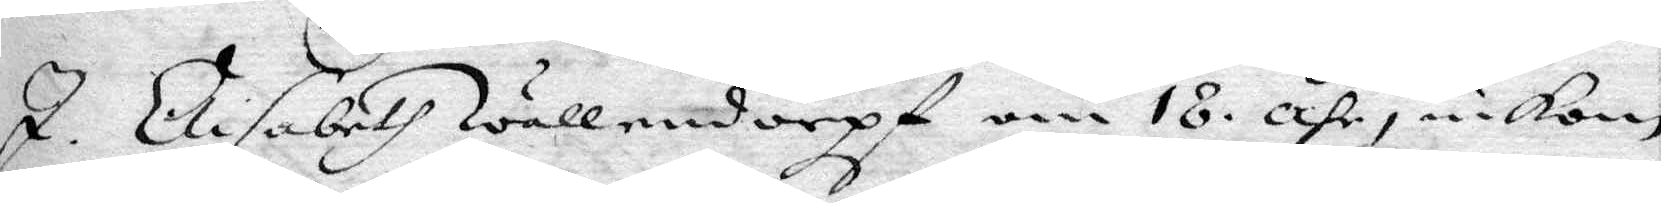I. Elisabeth Wällendorpf om 18. åhr, inkom
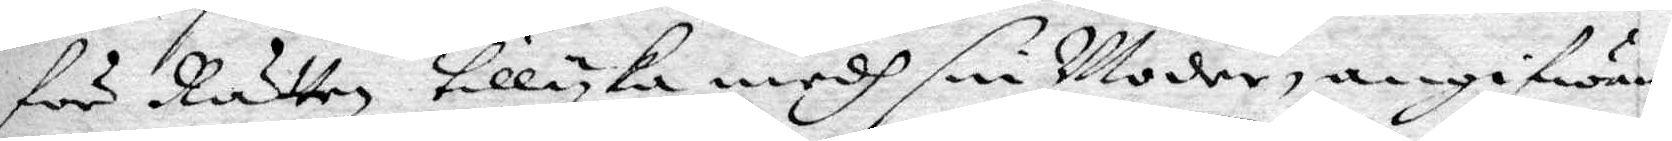för Rätten tillyka medh sin Moder, angifwan¬
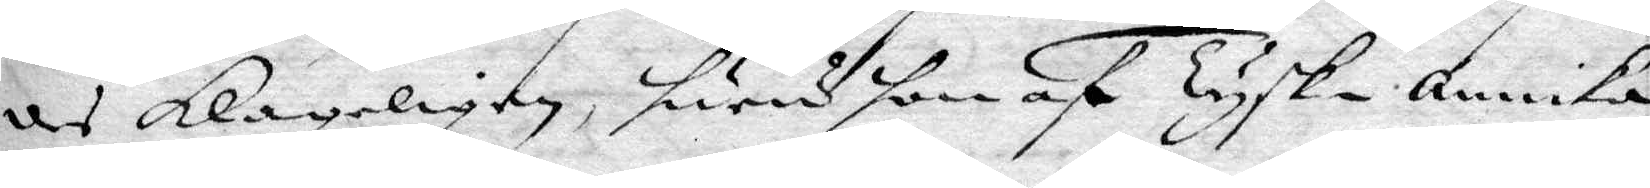des Klageligen huru som af Tysk-annika
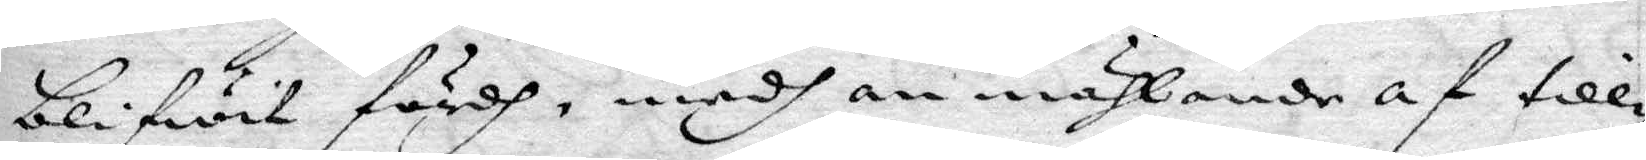blifwit fördh, medh anmählande af till¬
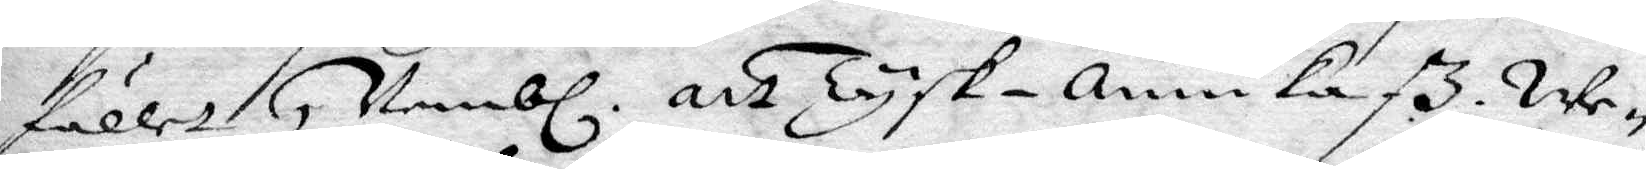fallet, Nembl. att Tysk¬annika 3 We¬
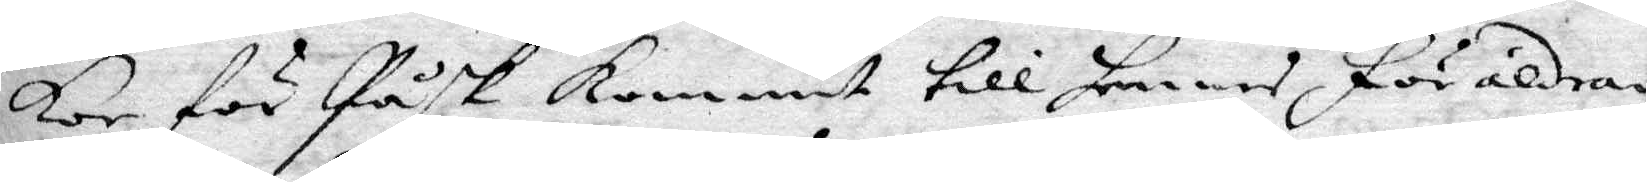kor för Påsk Kommit till hennes Föräldrar
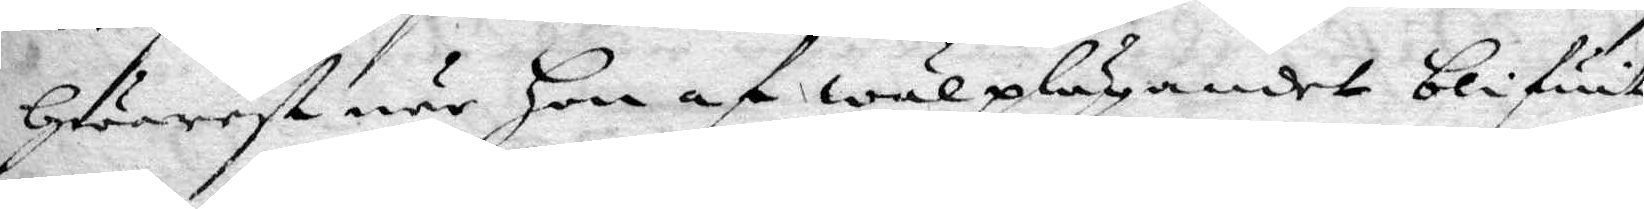Hwarest när Hon af wälplägandet blifwit
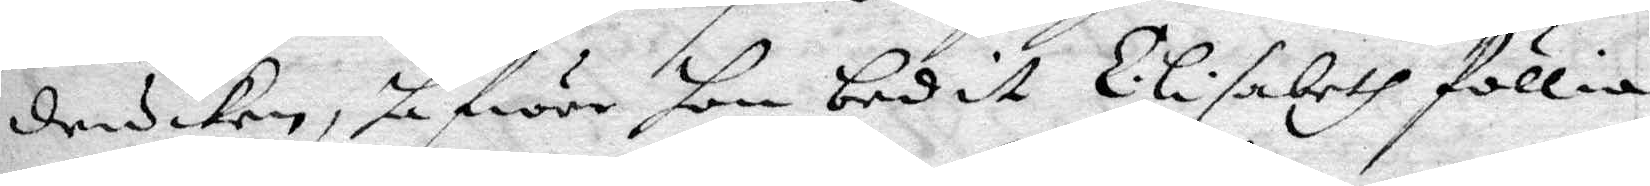drucken, hafwer hon bedit Elisabeth föllia
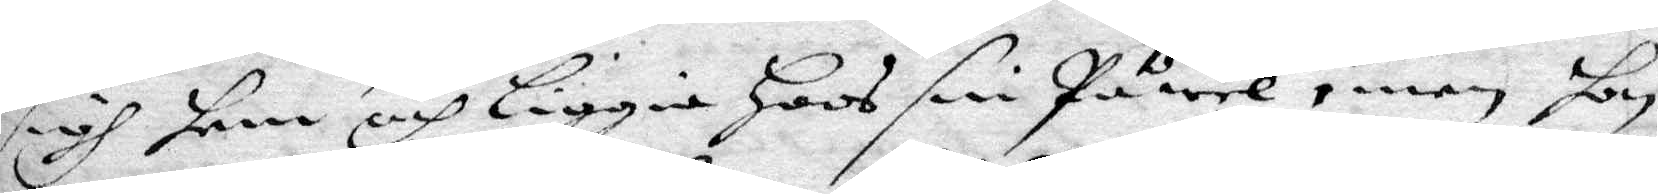sigh hem och liggia Hoos sin Påwel, men hon
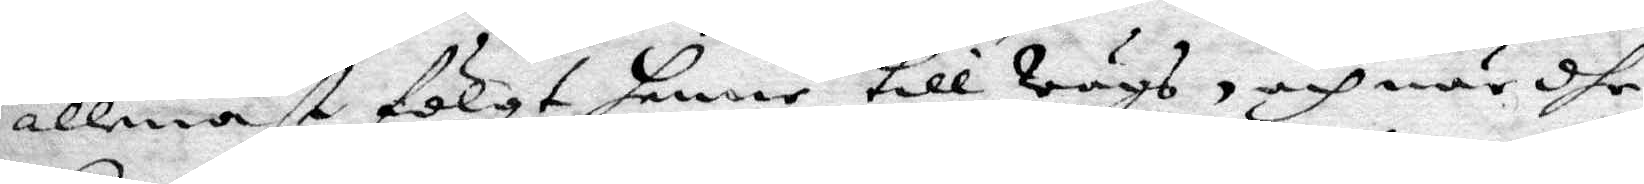allenast fölgt henne till Wägs, och när dhe
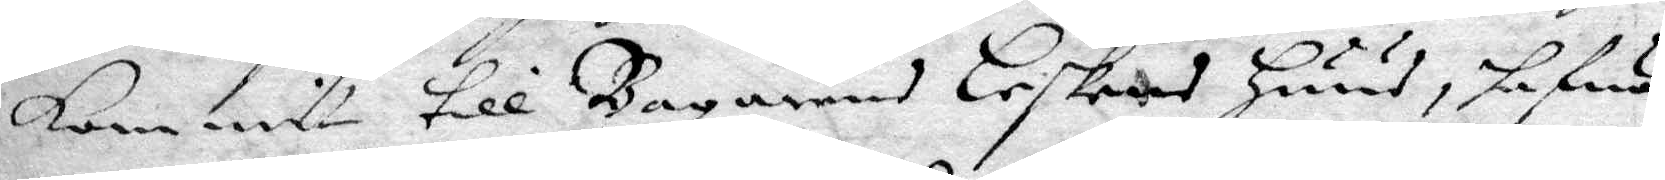Kommit till Bagarnes Leskens Huus, hafwa
